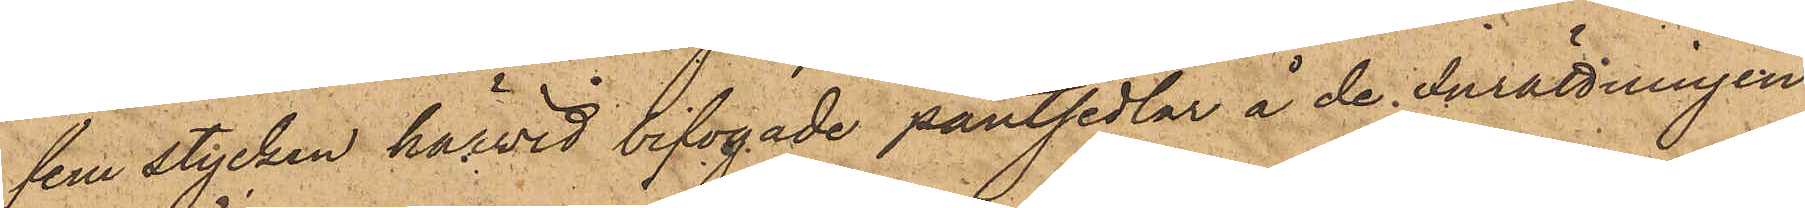fem stycken härvid bifogade pantsedlar å de Inrättningen
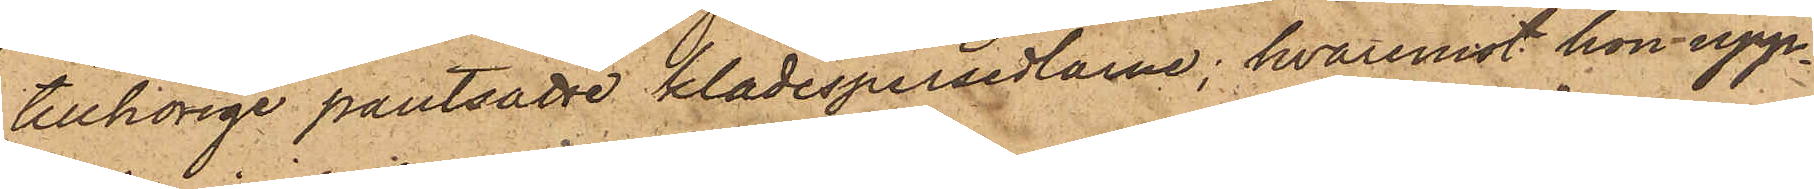tillhörige pantsatte klädespersedlarne; hvaremot hon upp¬
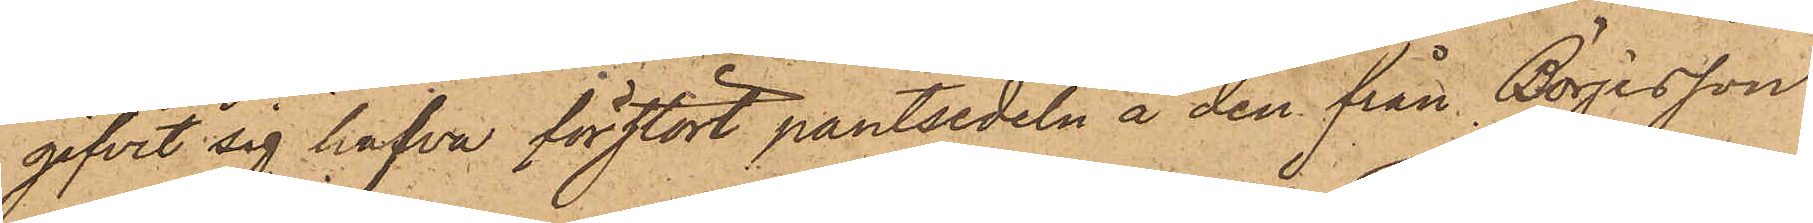gifvit sig hafva förstört pantsedeln å den från Börjesson
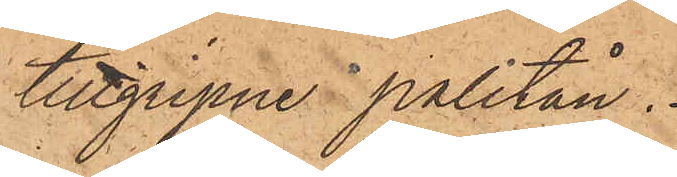tillgripne paletån.
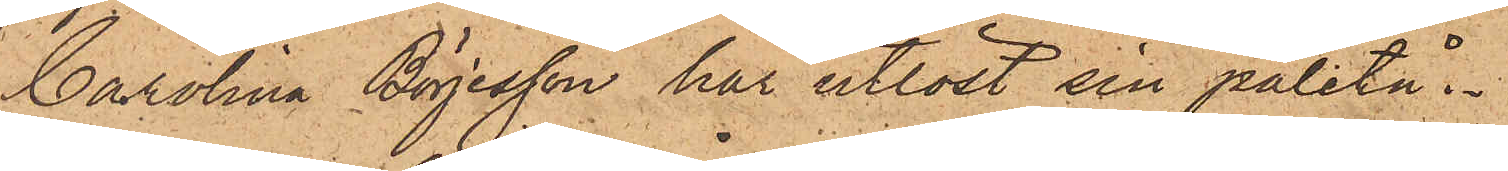Carolina Börjesson har utlöst sin paletå.
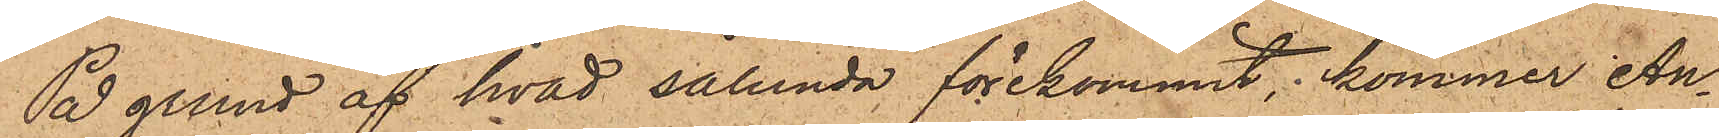På grund af hvad sålunda förekommit, kommer An¬
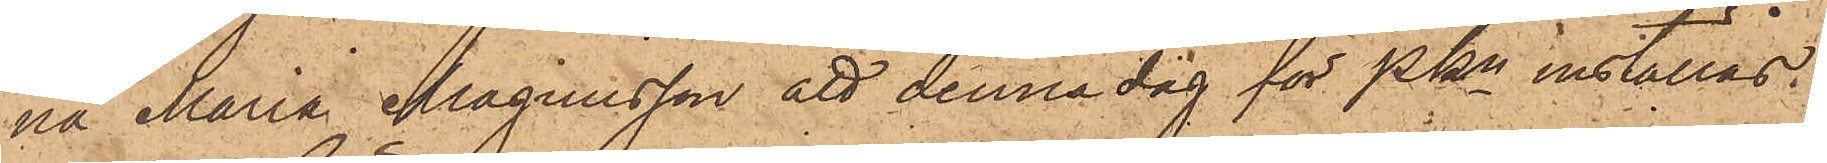na Maria Magnusson att denna dag för PKn inställas.
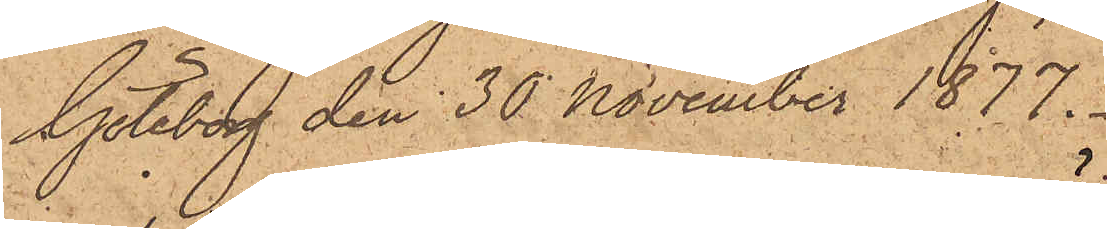Göteborg den 30 November 1877.
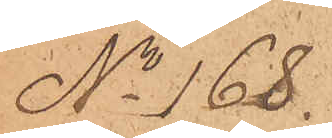No 168.
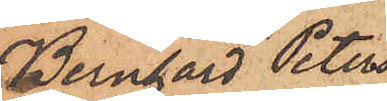Bernhard Peters¬
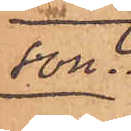son.
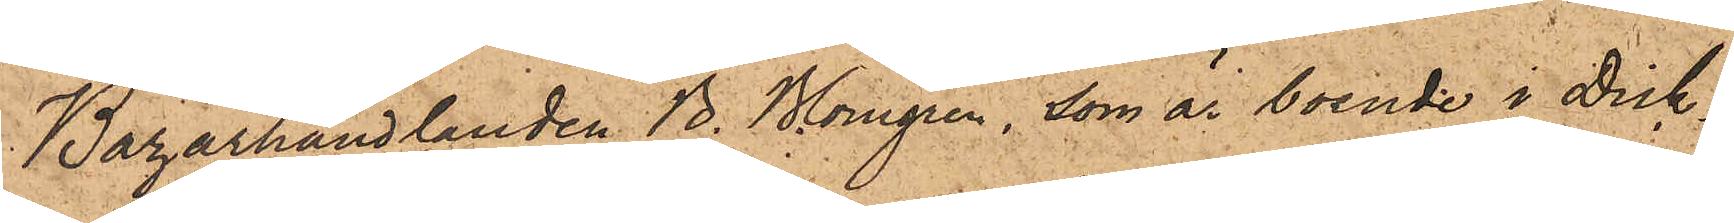Bazarhandlanden B. Blomgren, som är boende i Dick¬
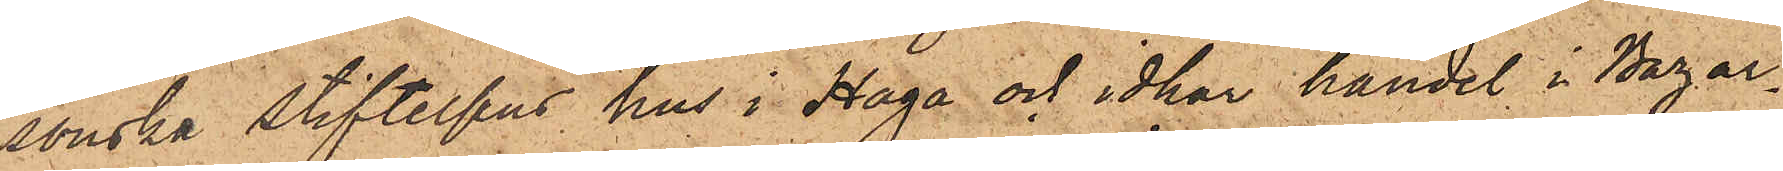sonska stiftelsens hus i Haga och idkar handel i Bazar¬
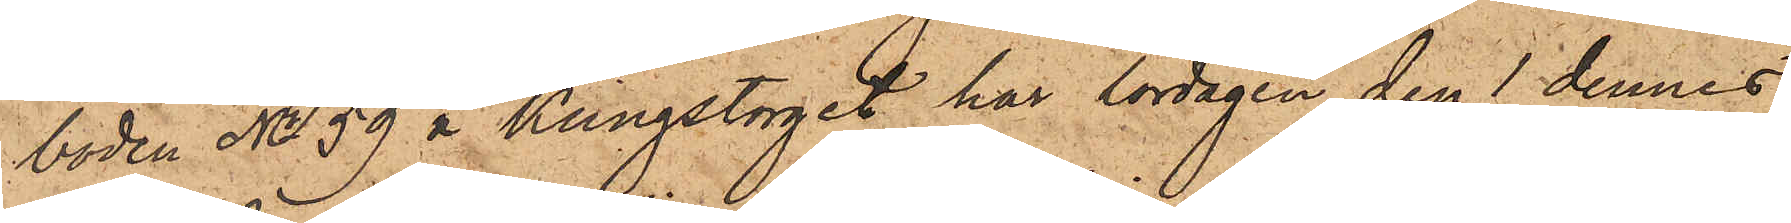boden No 59 å Kungstorget, har lördagen den 1 dennes
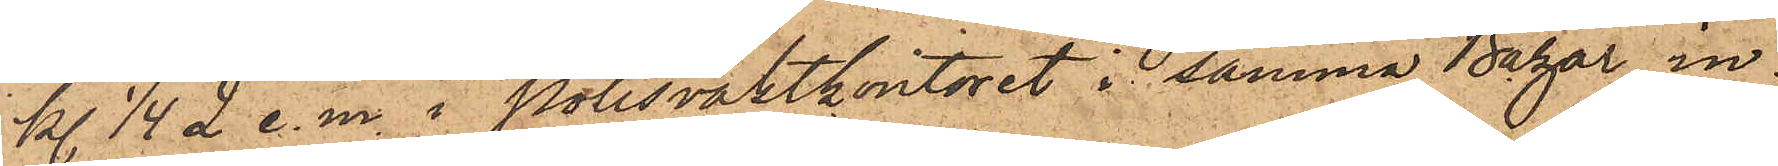kl 1/4 2 e. m. i Polisvaktkontoret i samma Bazar in¬
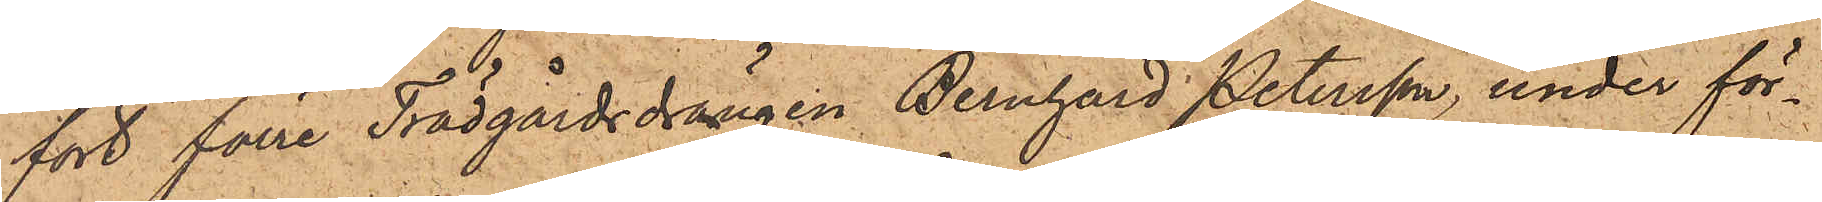fört förre Trädgårdsdrängen Bernhard Petersson, under för¬
